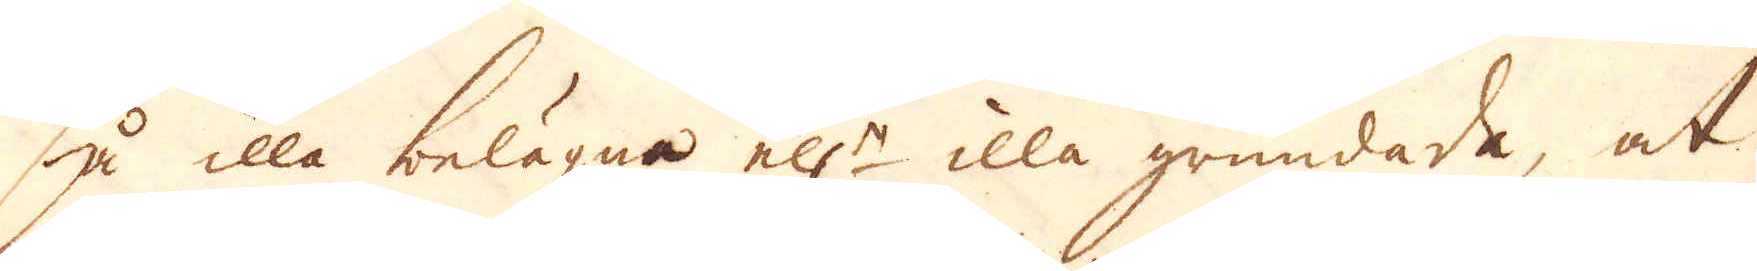så illa belägna ell:r illa grundade, at
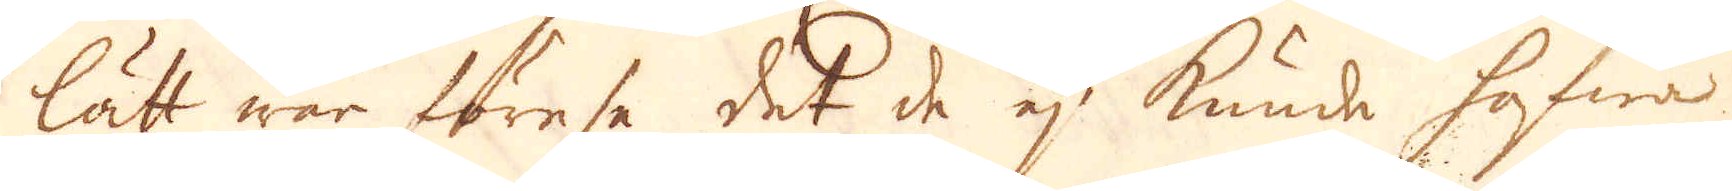lätt war förese det de ej kunde hafwa
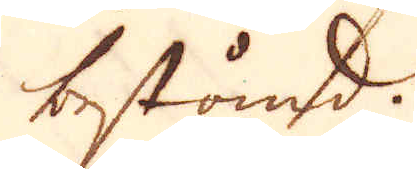bestånd.
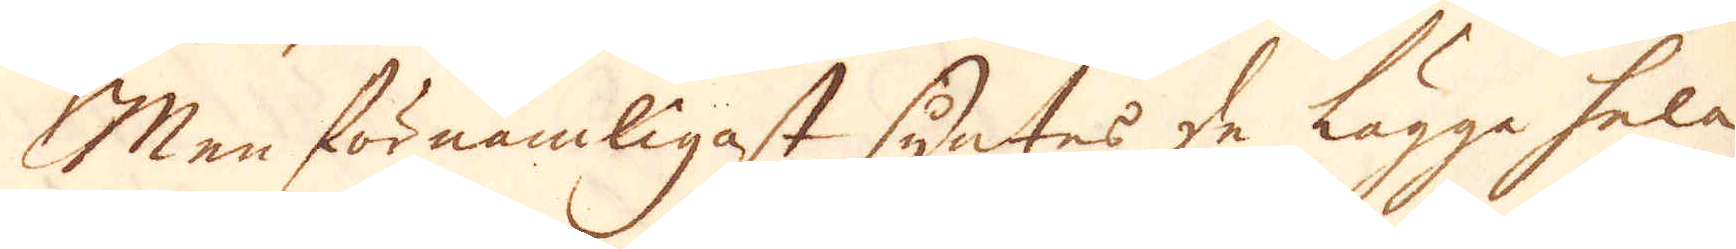Men förnämligast syntes de lägga hela
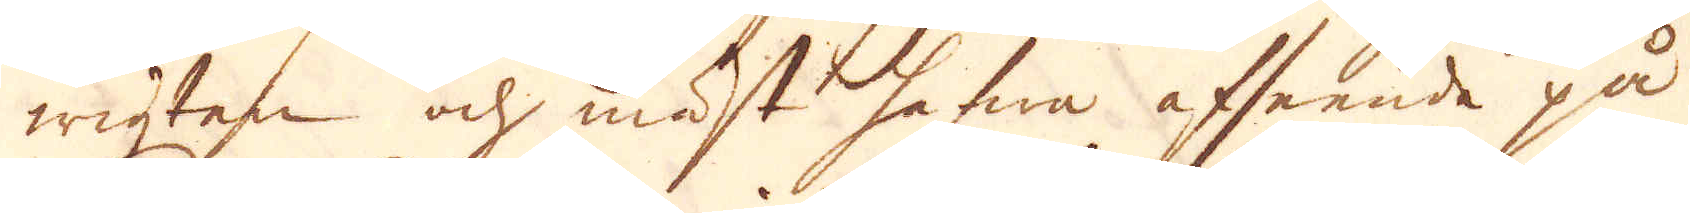wigten och mäst hafwa afseende på
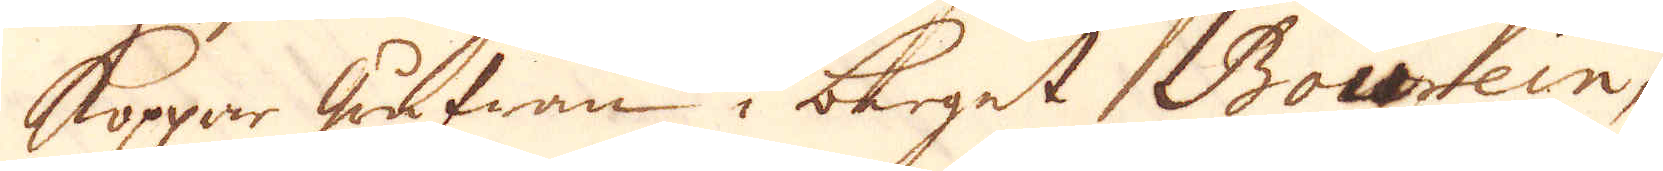koppar grufwan i berget Bourein,
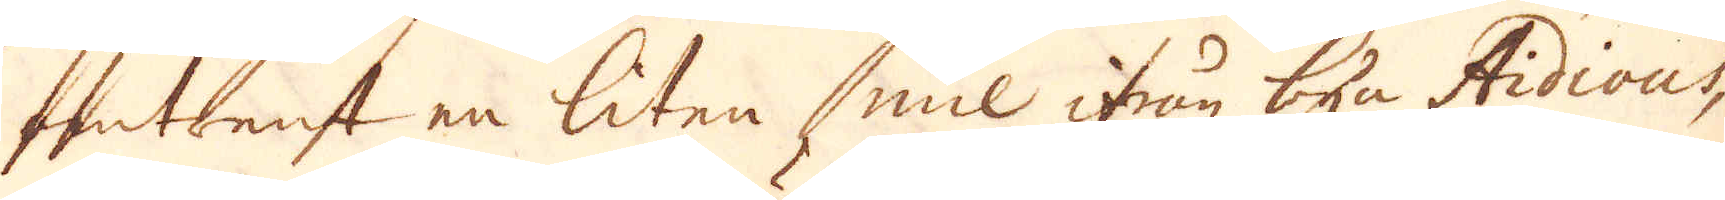omtrent en liten mil ifrån byn Aidious,
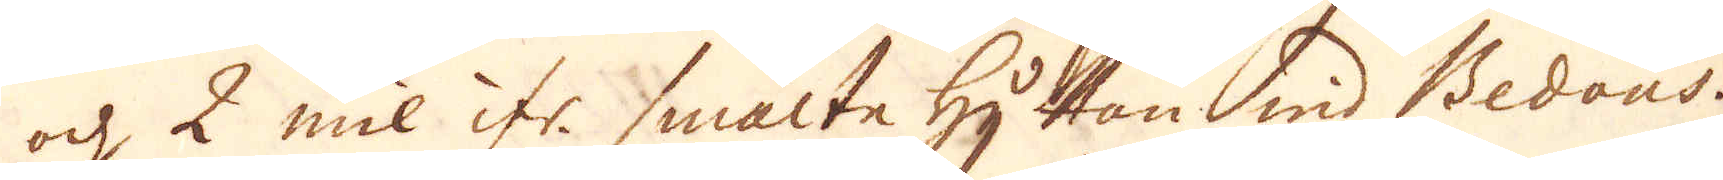och 2 mil ifr. smältehyttan wid Bedous.
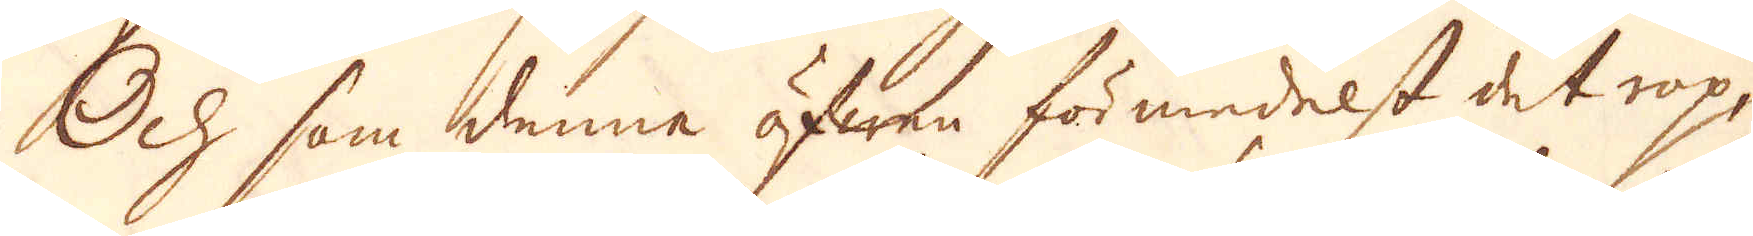Och som denne äfwen förmedelst det rop,
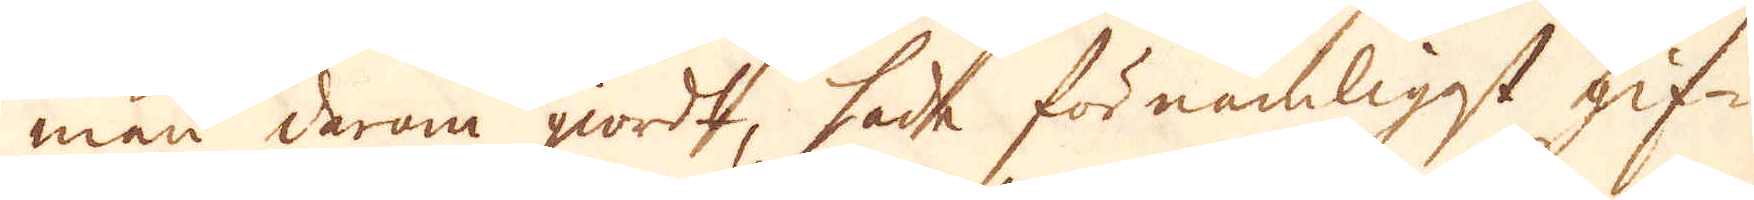man derom giordt, hade förnämligst gif-
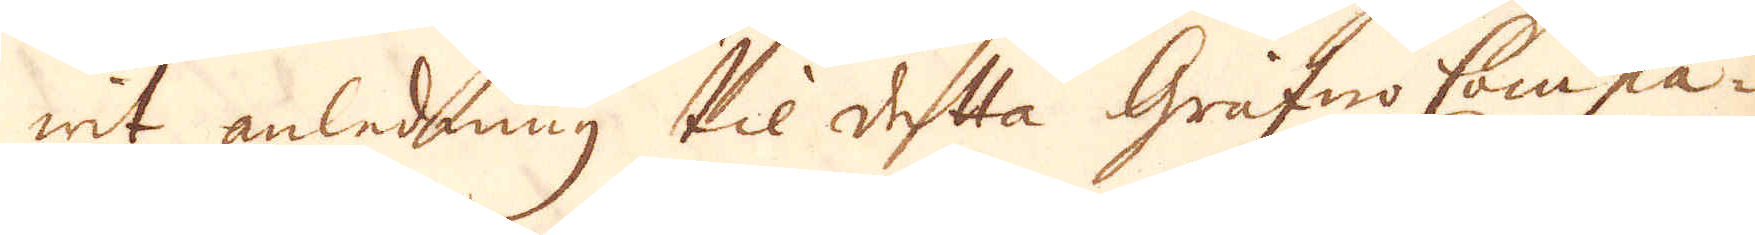wit anledning til detta Grufwo Compa-
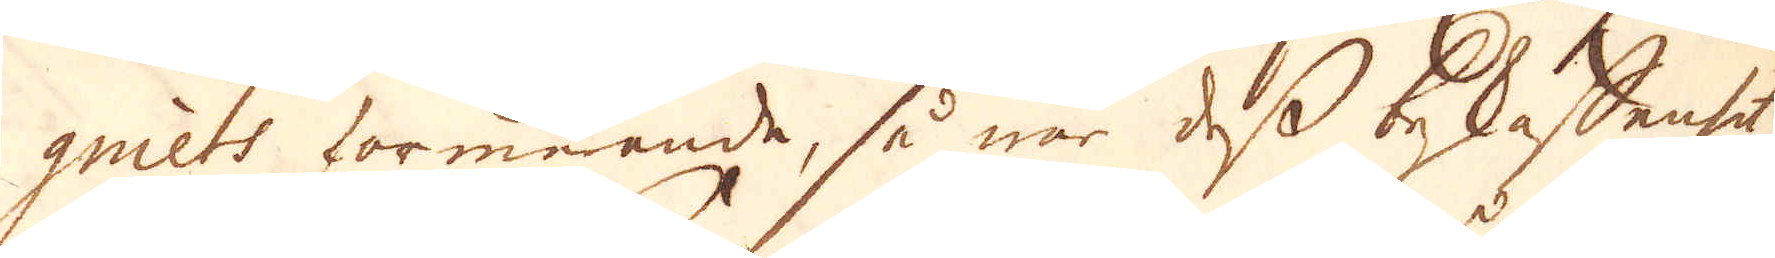gniets formerande, så war dess beskaffenhet
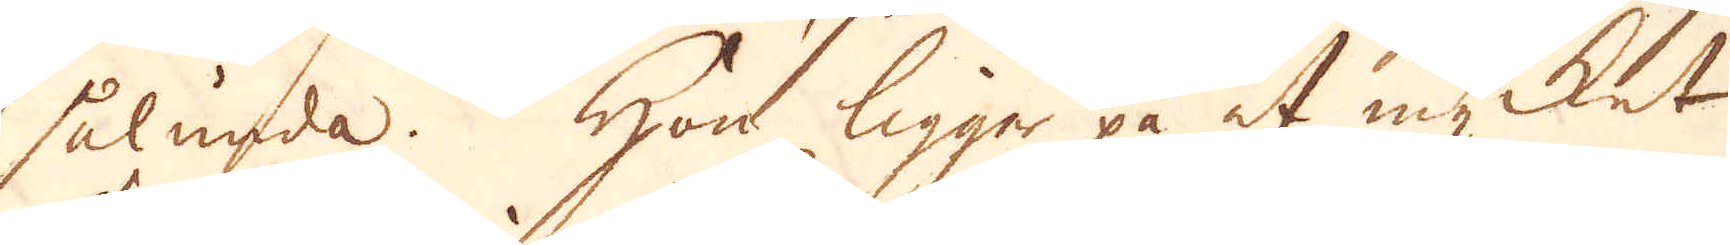sålunda. Hon ligger på et mycket
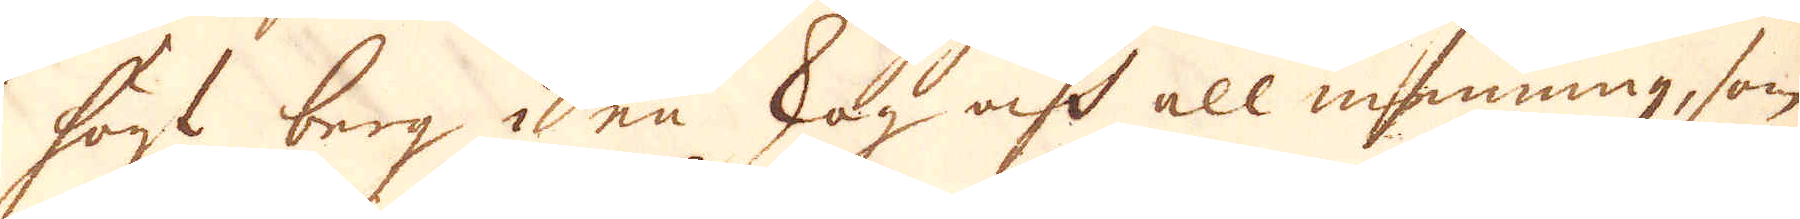högt berg i en skog och all menning, som
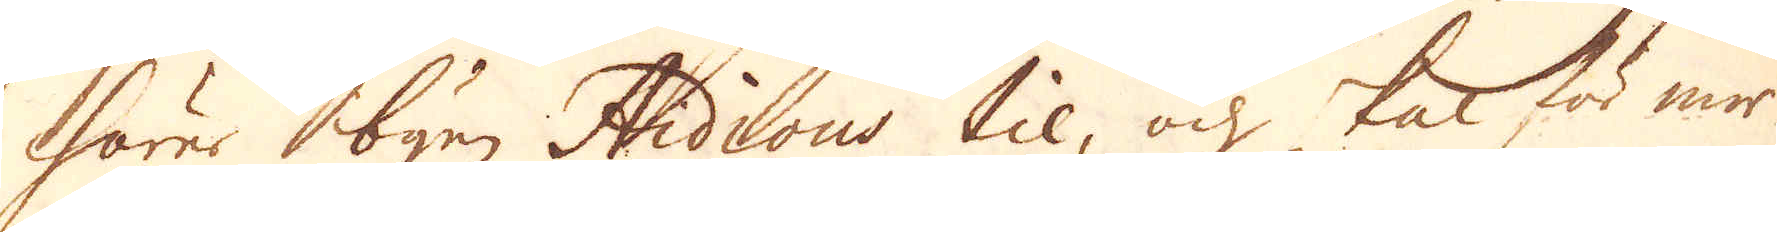hörer byn Aidious til, och skal för mer
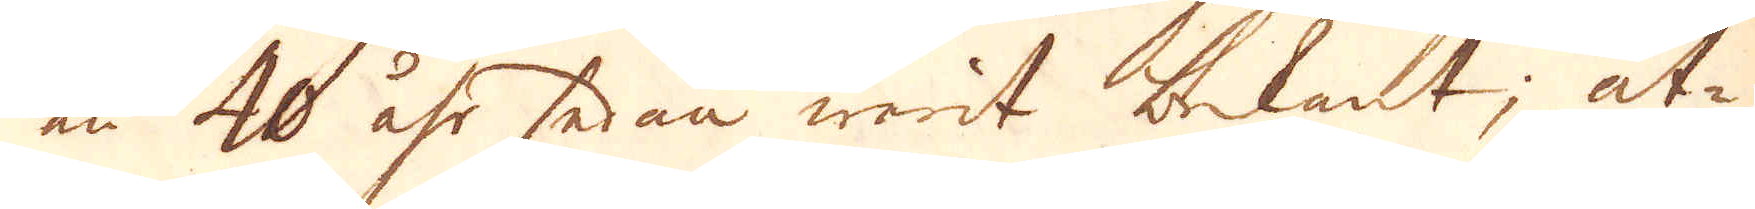än 40 åhr sedan warit bekant; åt-
